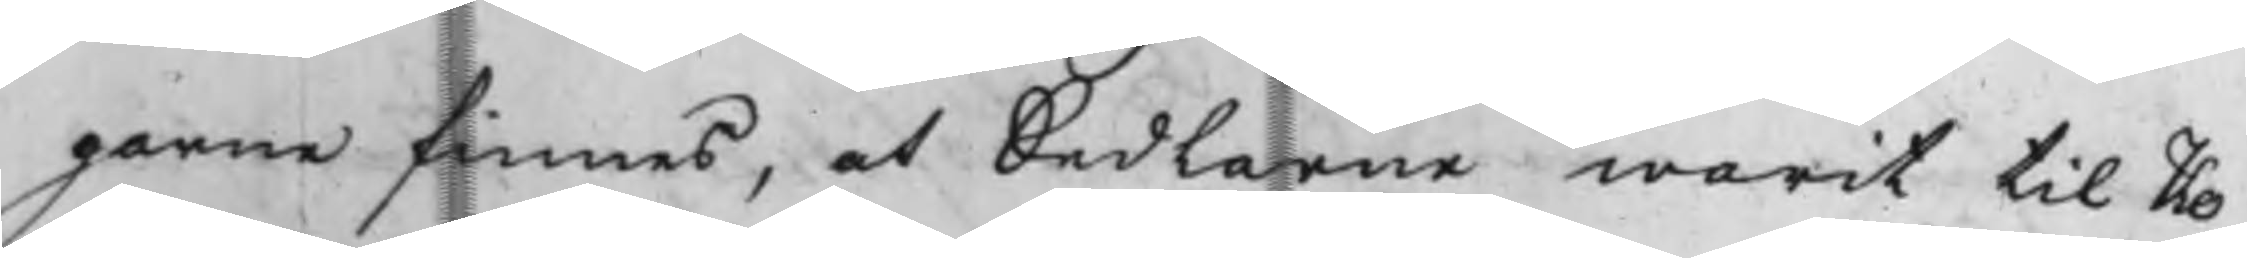garne finnes, at Sedlarne warit til Ko¬
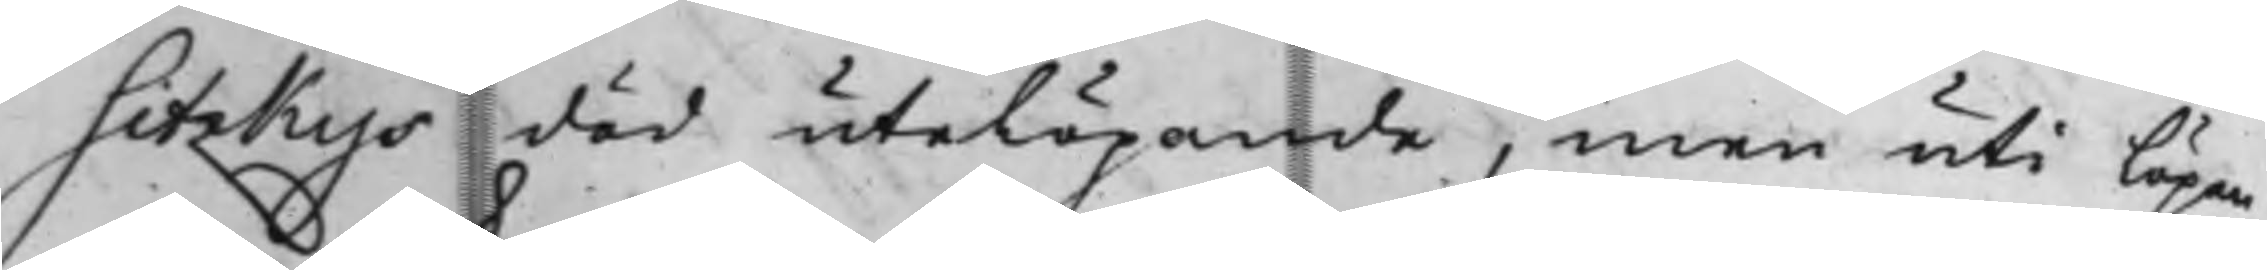Sitzkys död utelöpande, men uti löpan¬
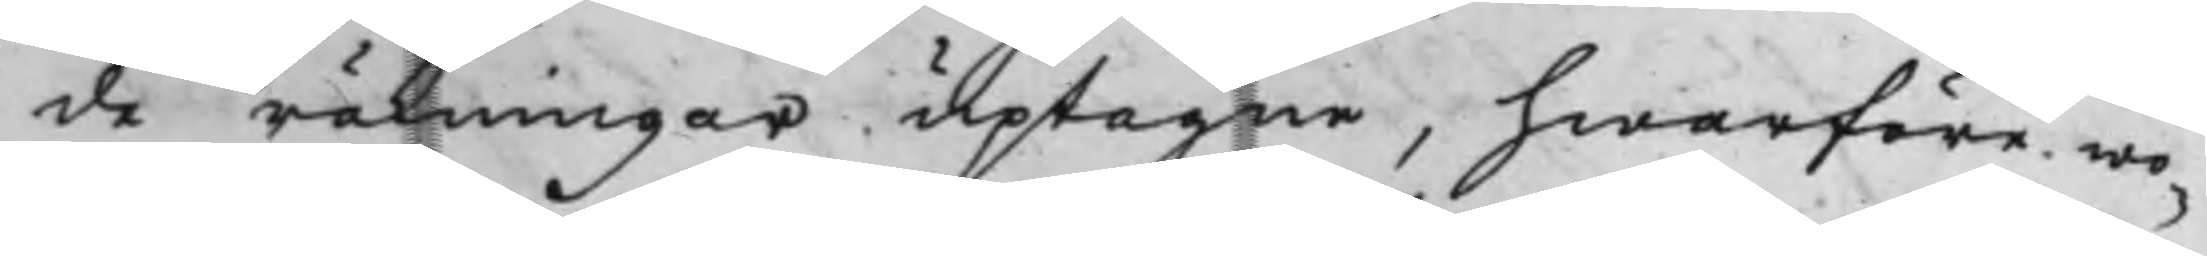de räkningar uptagne, hwarföre wo¬
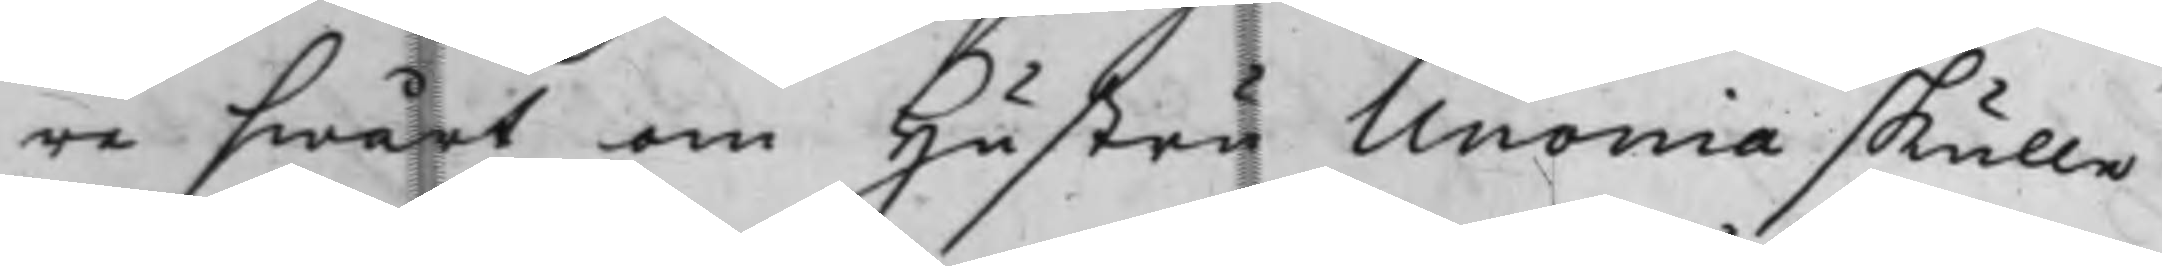re swårt om Hustru Unonia skulle
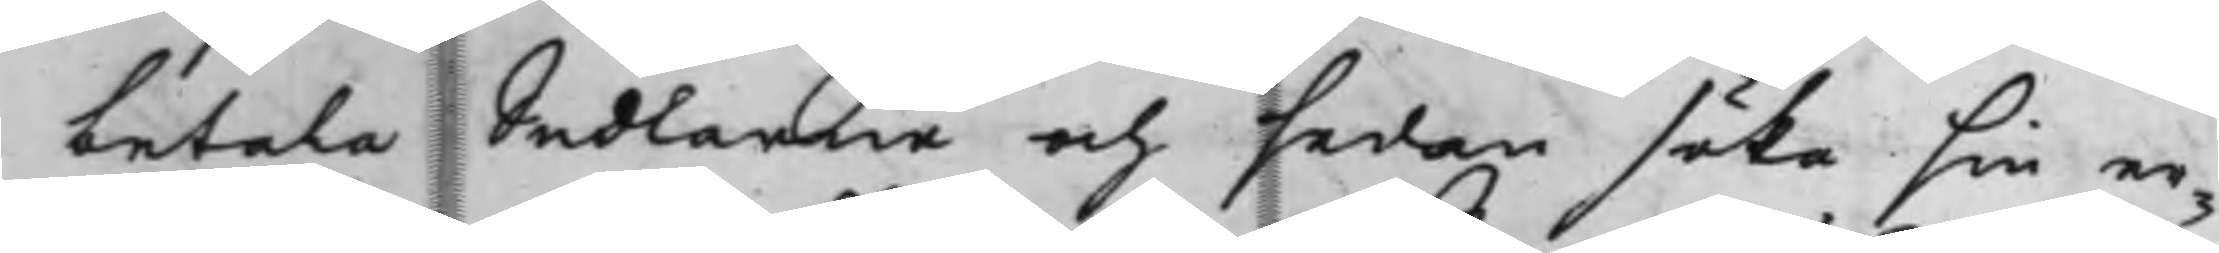betala Sedlarne och sedan söka sin er¬
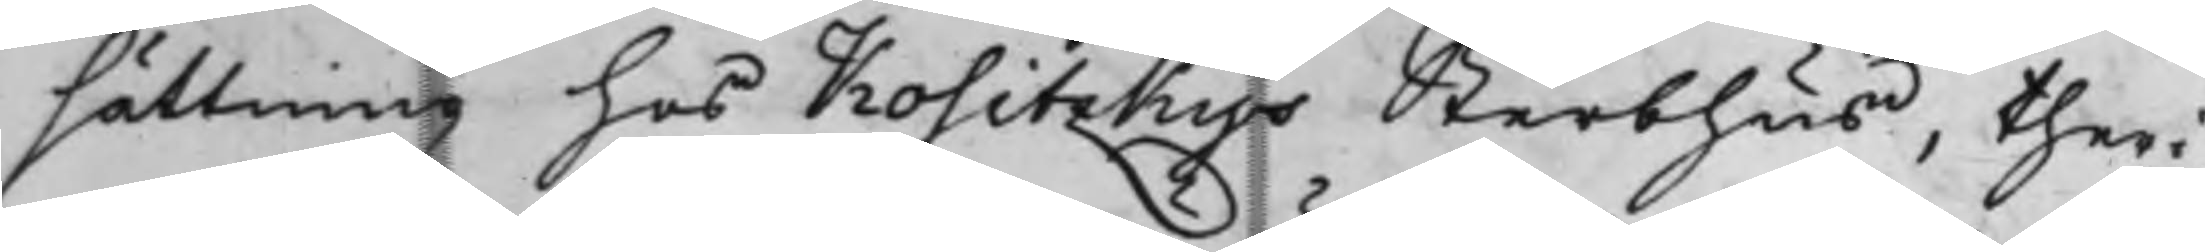sättning hos Kositzkys Sterbhus, theri¬
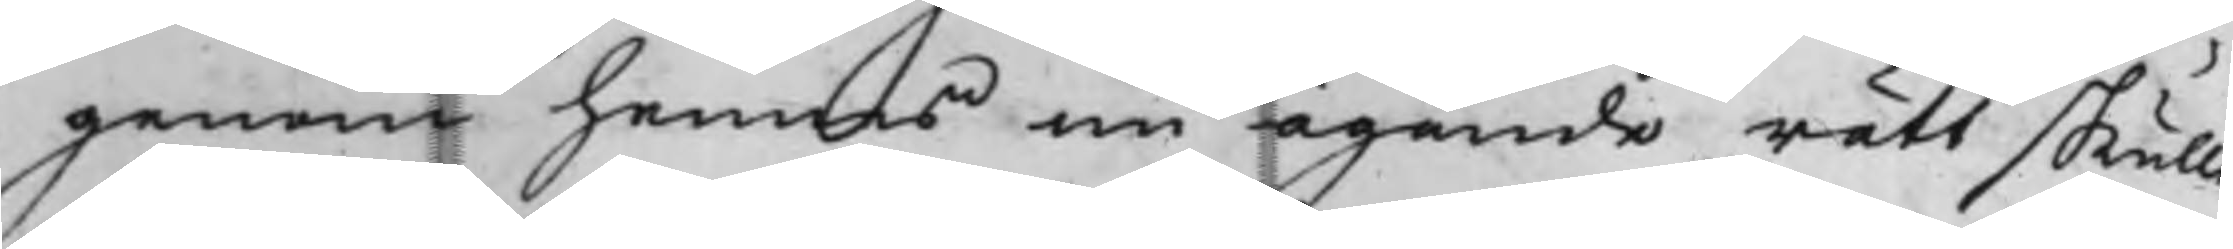genom hennes nu ägande rätt skulle
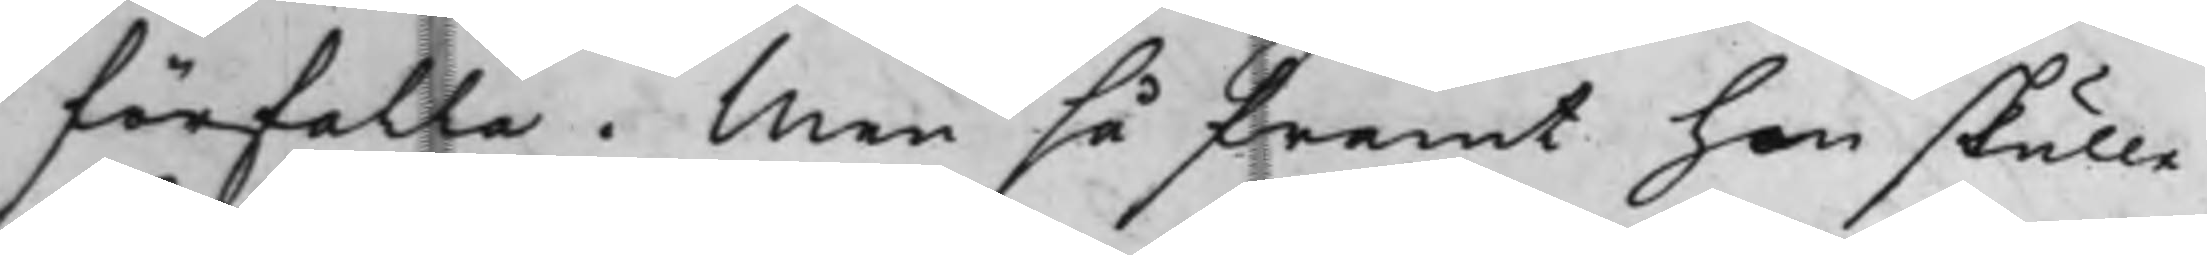förfalla. Men så framt hon skulle
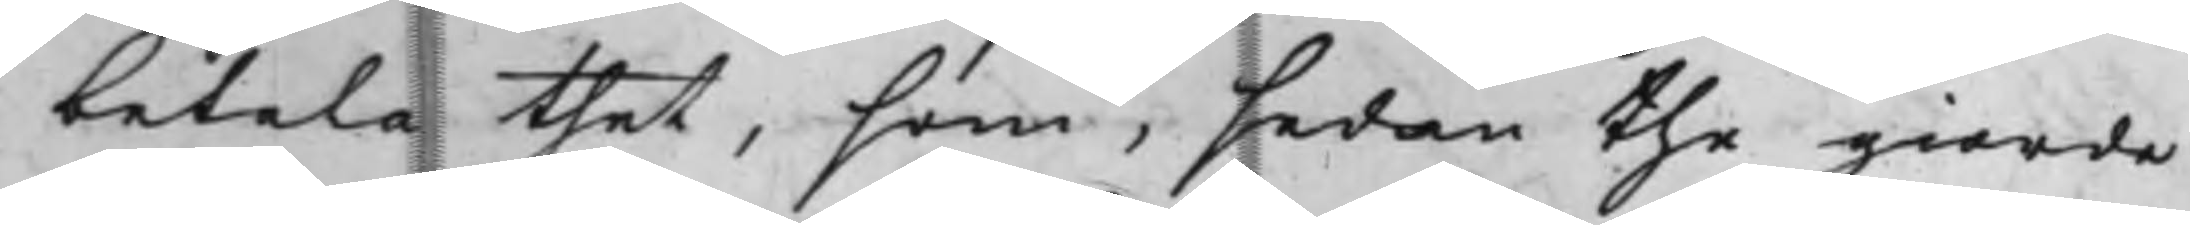betala thet, som, sedan the giorde
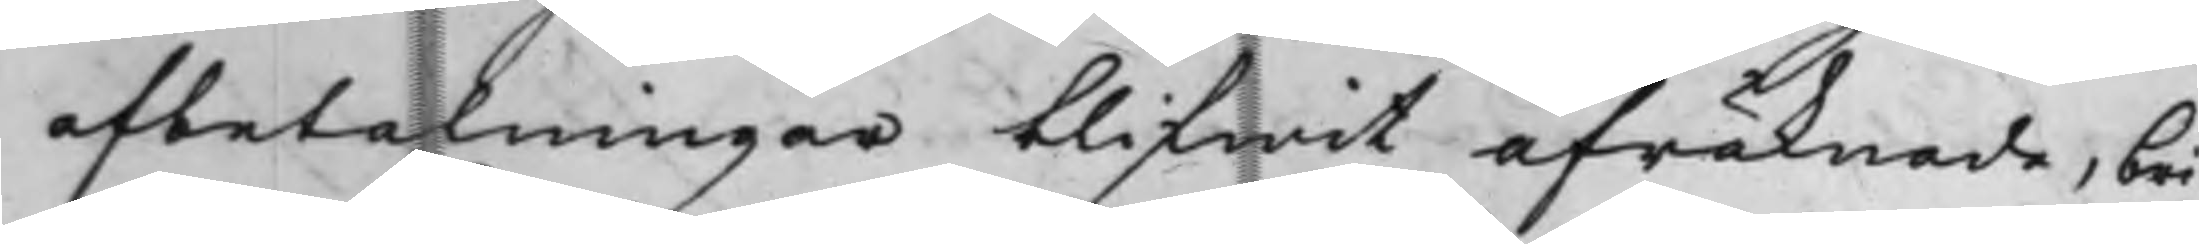afbetalningar blifwit afräknade, bri¬
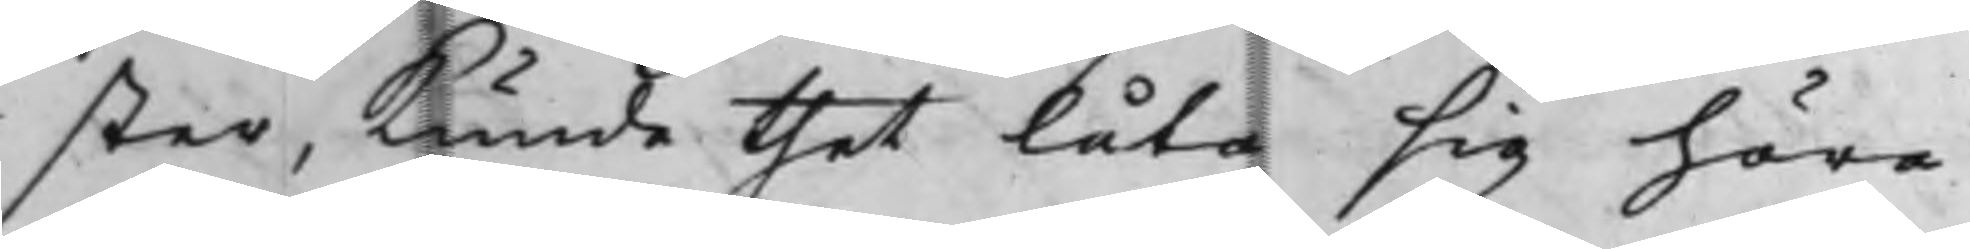ster, kunde thet låta sig höra.
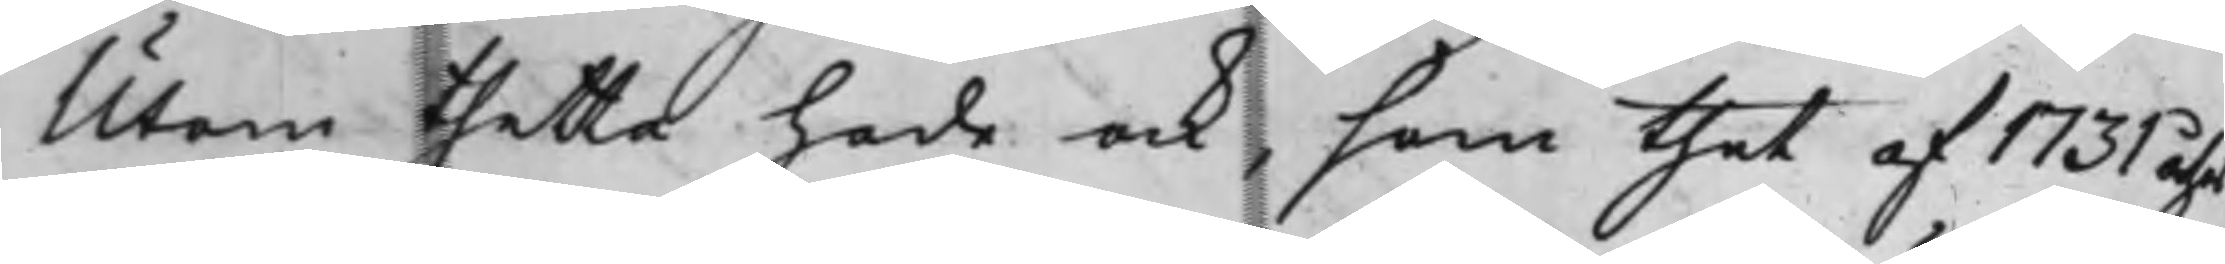Utom thetta hade ock, som thet af 1731 åhrs
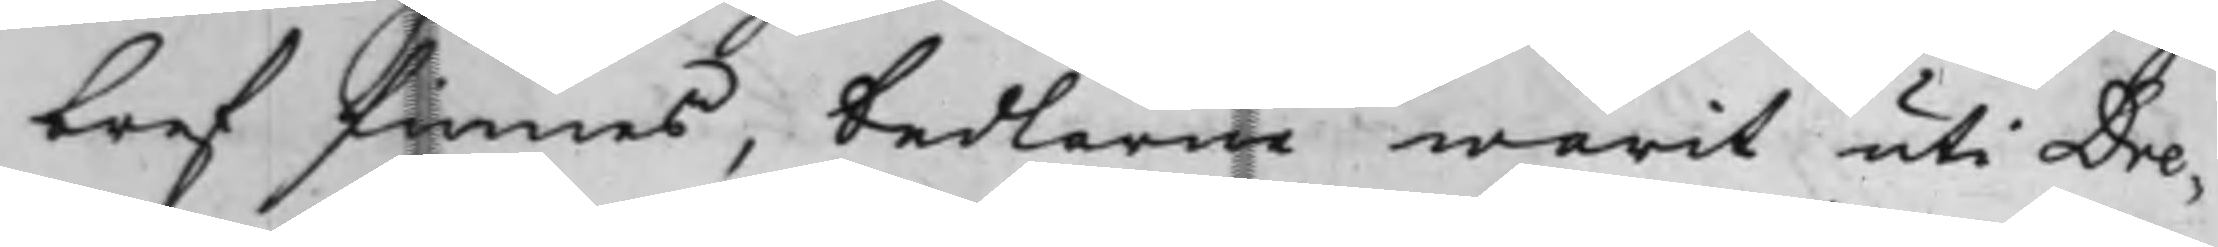bref finnes, Sedlarme warit uti Dre¬
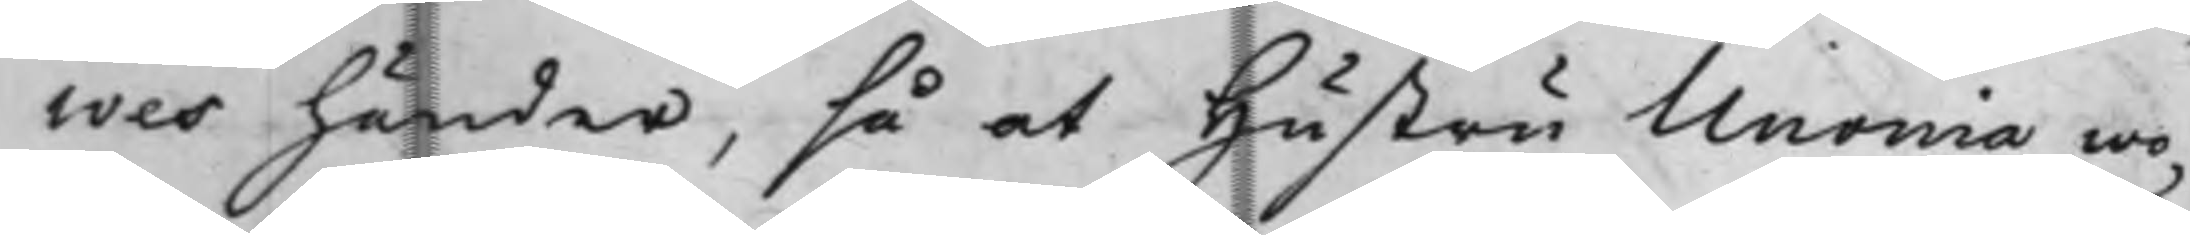wes händer, så at Hustru Unonia wo¬
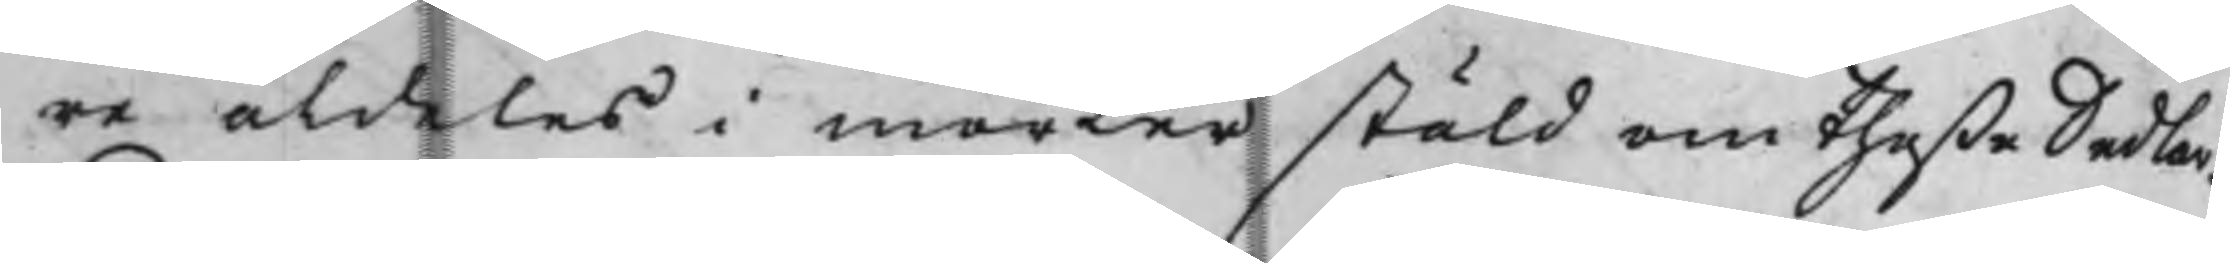re aldeles i mörker stäld om theße Sedlar.
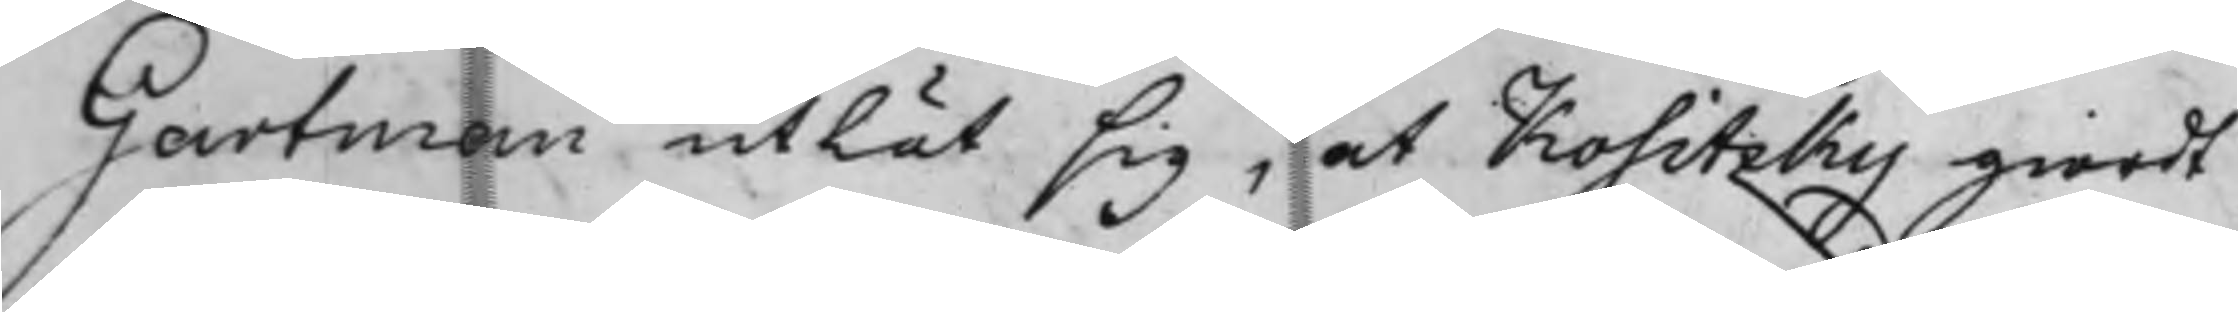Gartman utlät sig, at Kositzky giordt
